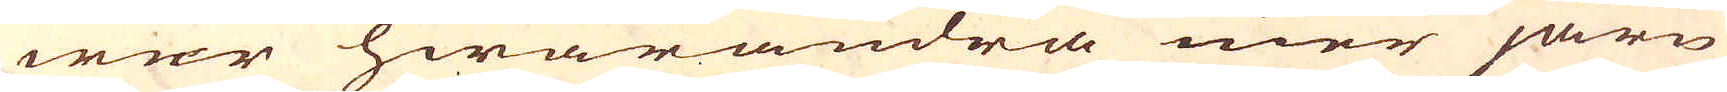wer hwarandra mer järn
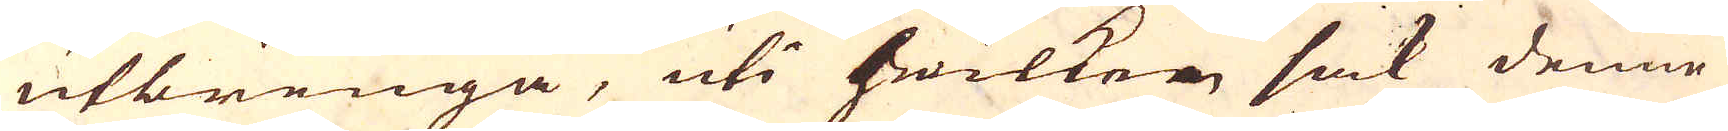utbringa, uti hwilken sak denne
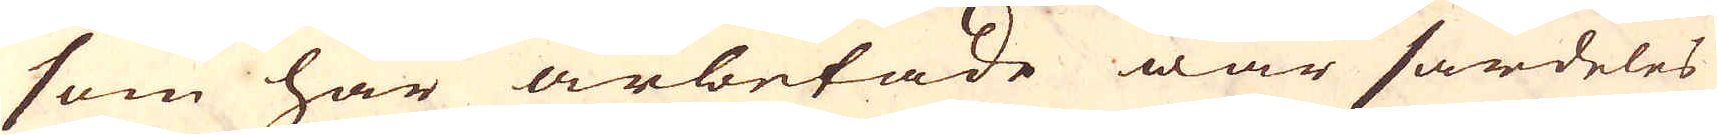som här arbetade war särdeles
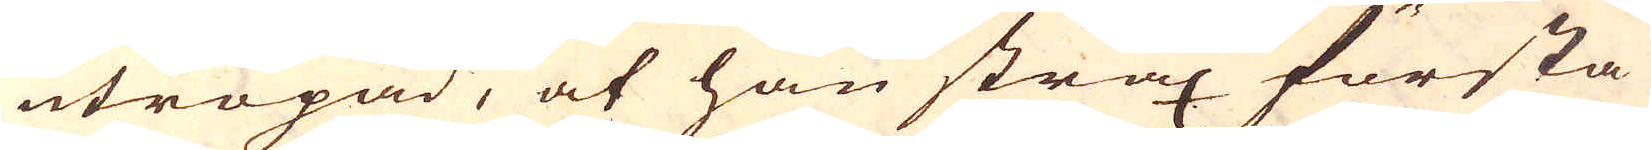utropad, at han strax första
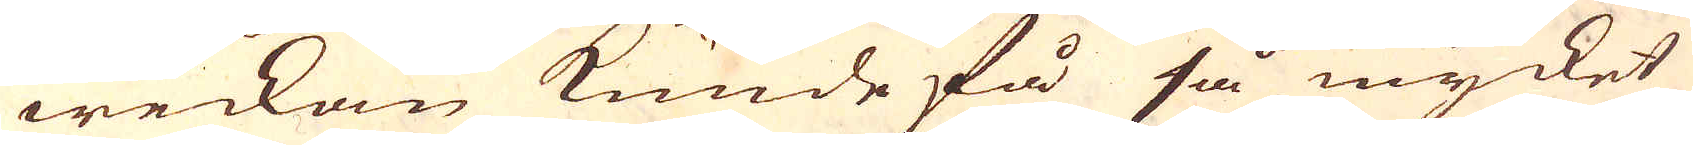weckan kunde få så mycket
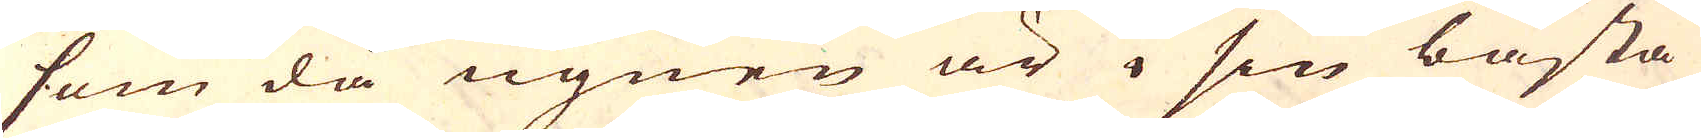som då ugnen är i sin bästa
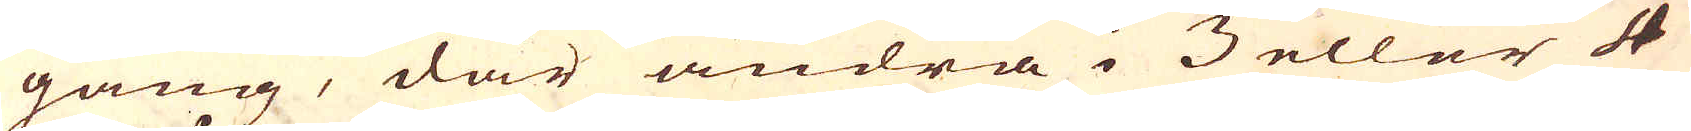gång, där andra i 3 eller 4
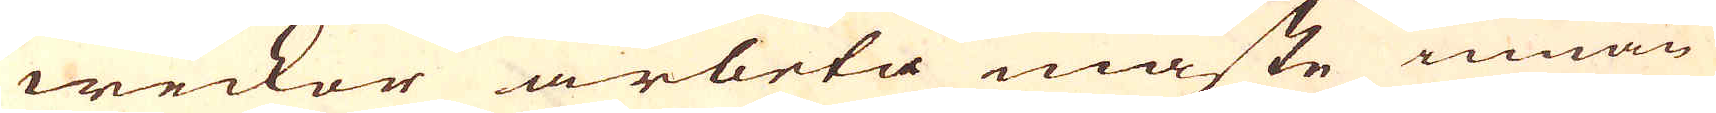weckor arbeta måste innan
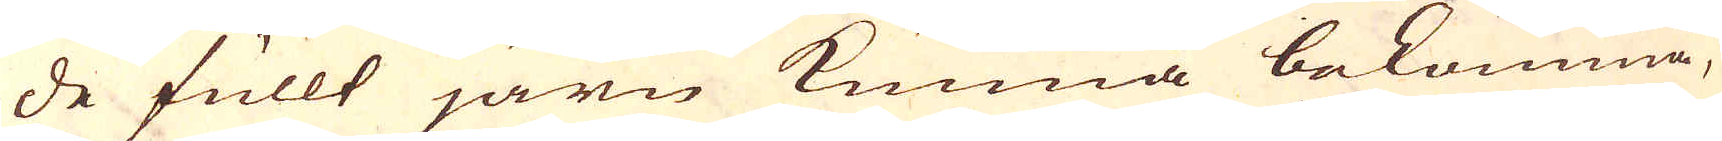de fullt järn kunna bekomma,
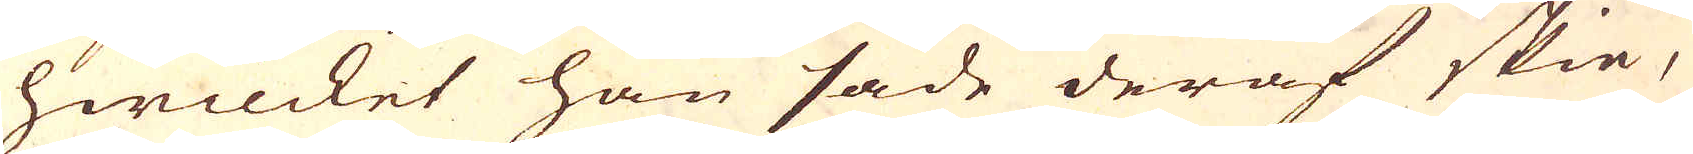hwilcket han sade deraf skie,
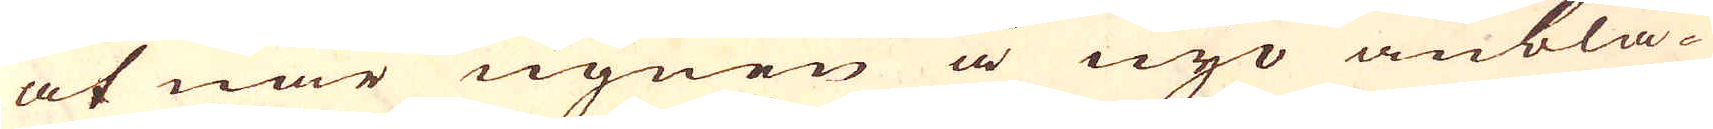at när ugnen å nyo anblå-
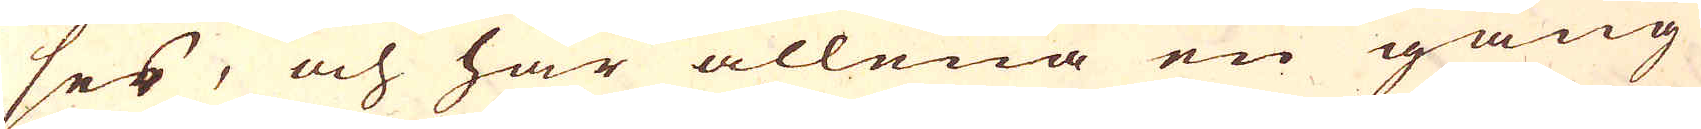ses, och här allena en gång
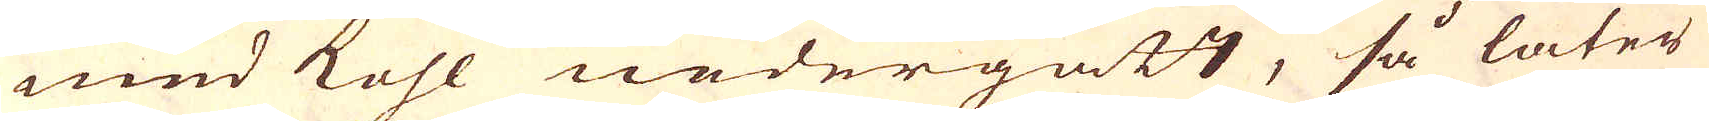med kohl nedergått, så låter
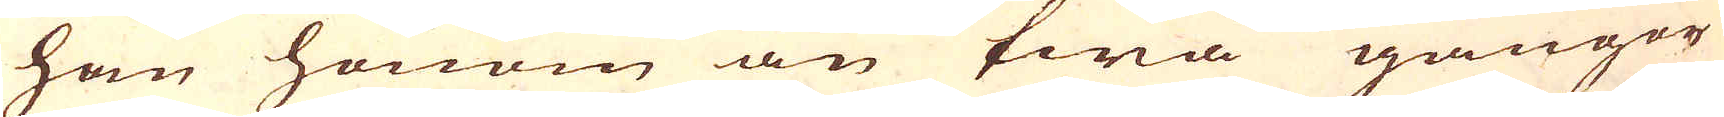han honom än twå gångor
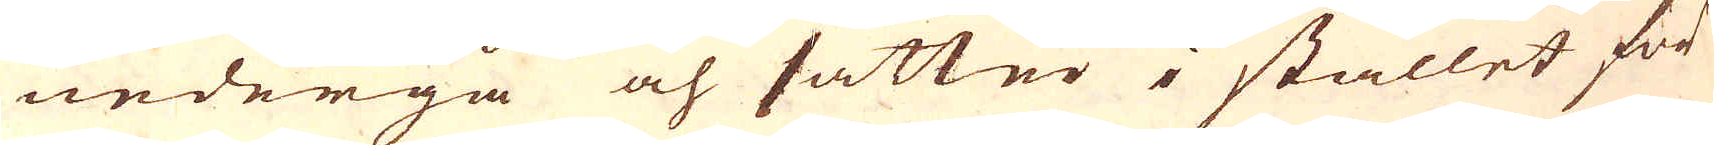nedergå och sätter i stället för
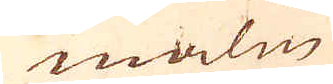malm
